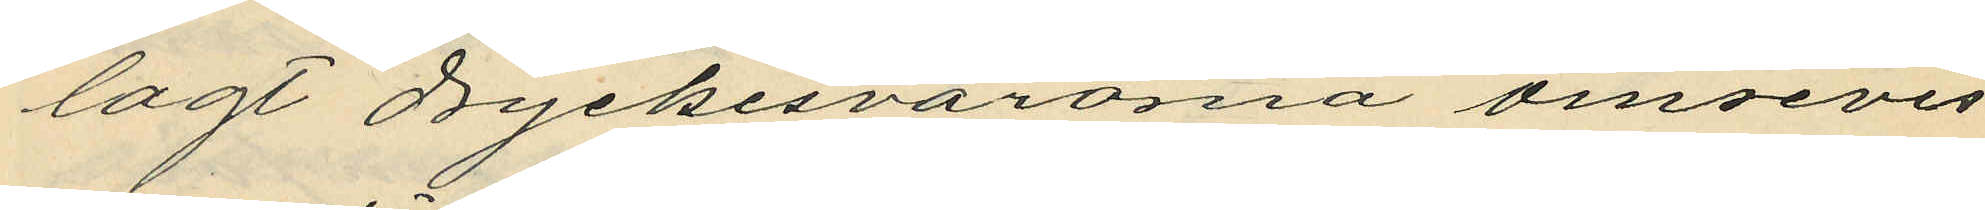lagt dryckesvarorna ömsevis
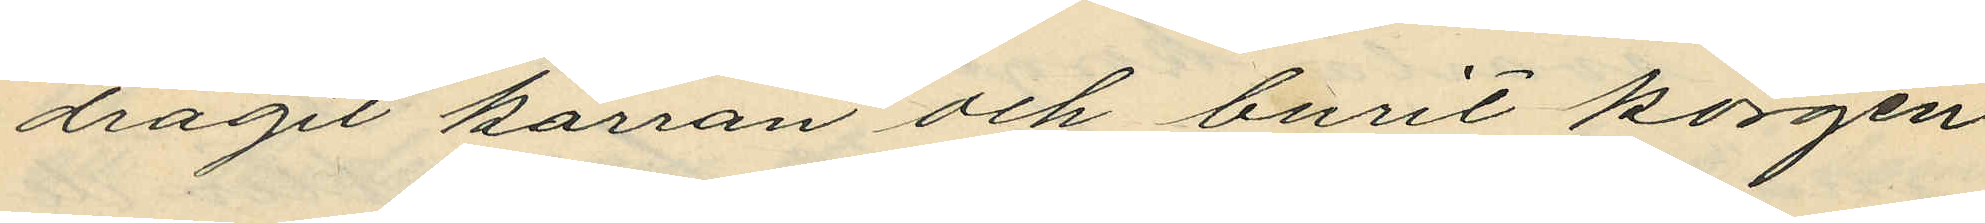dragit kärran och burit korgen
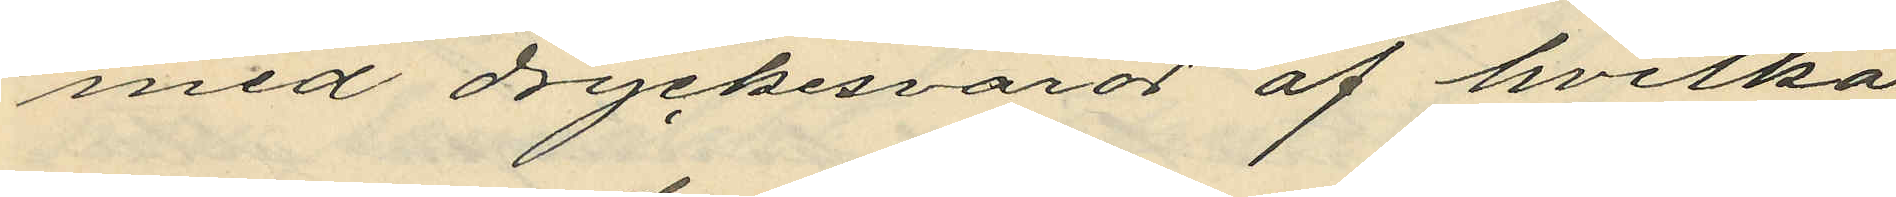med dryckesvaror af hvilka
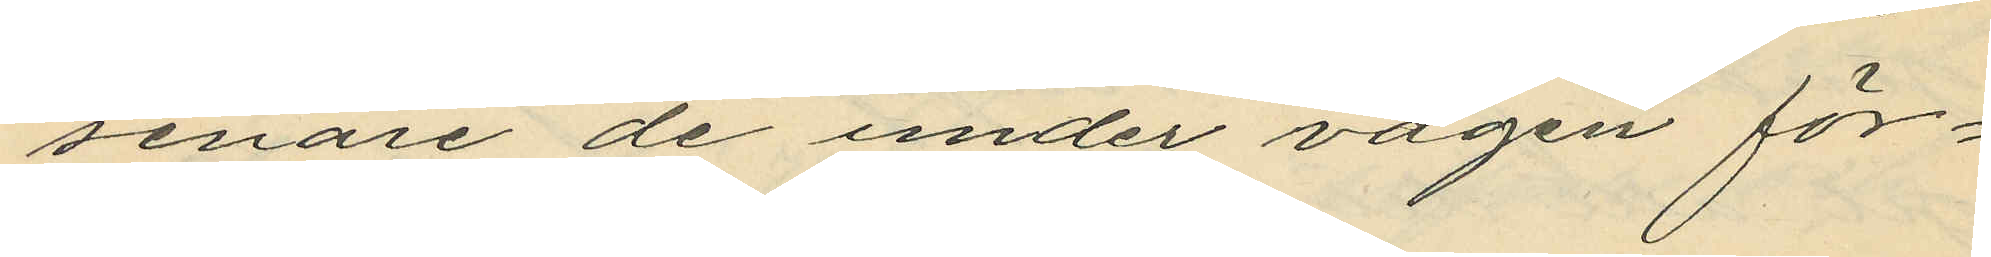senare de under vägen för¬
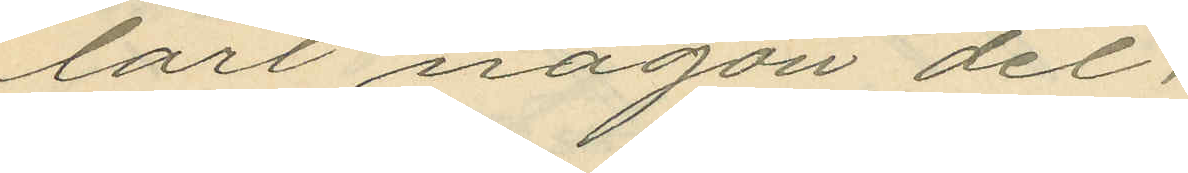tärt någon del;
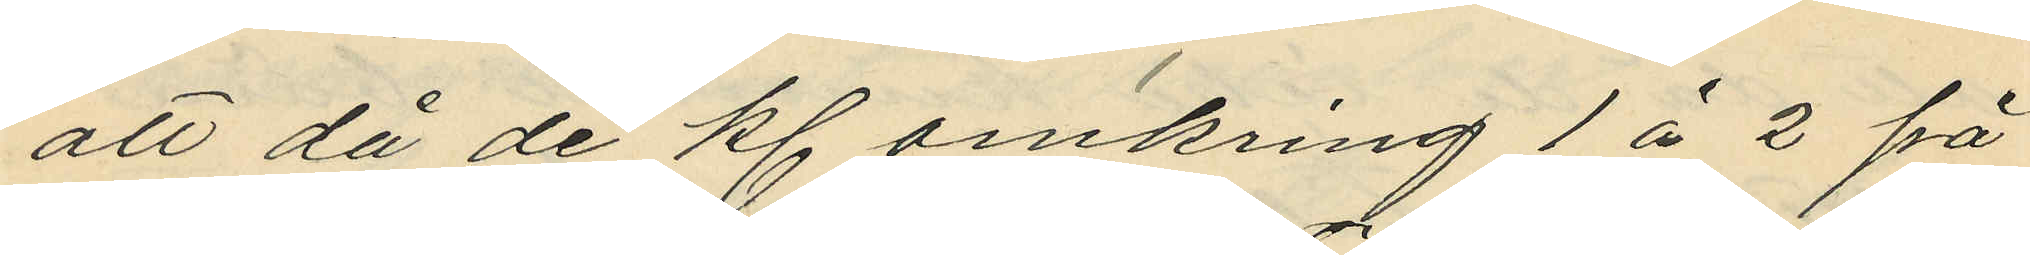att då de kl omkring 1 à 2 på
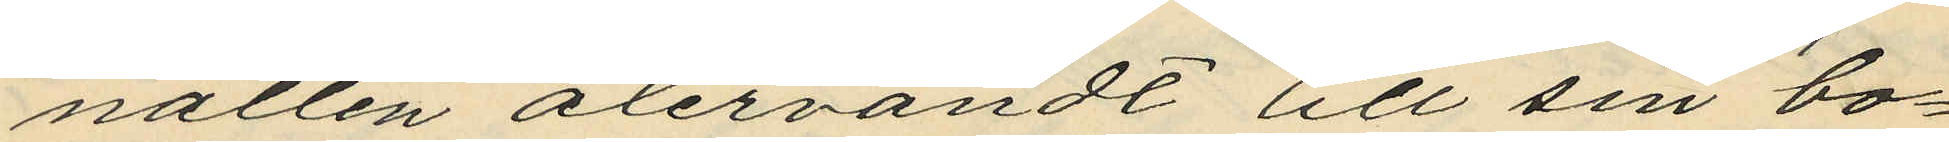natten återvändt till sin bo¬
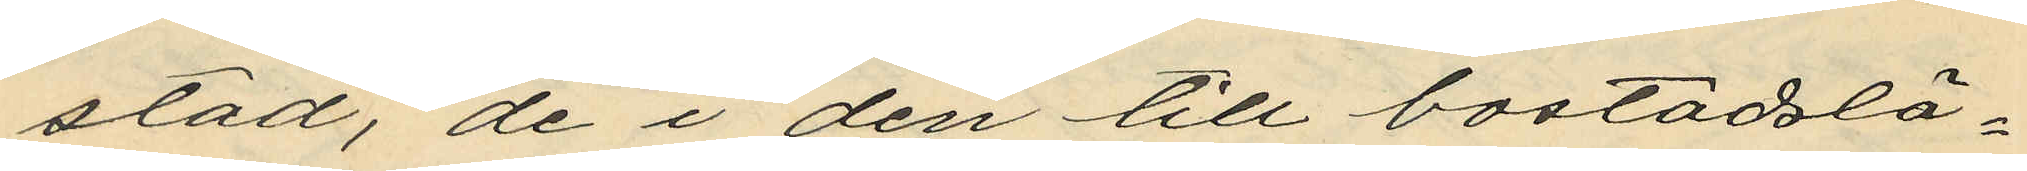stad, de i den till bostadslä¬
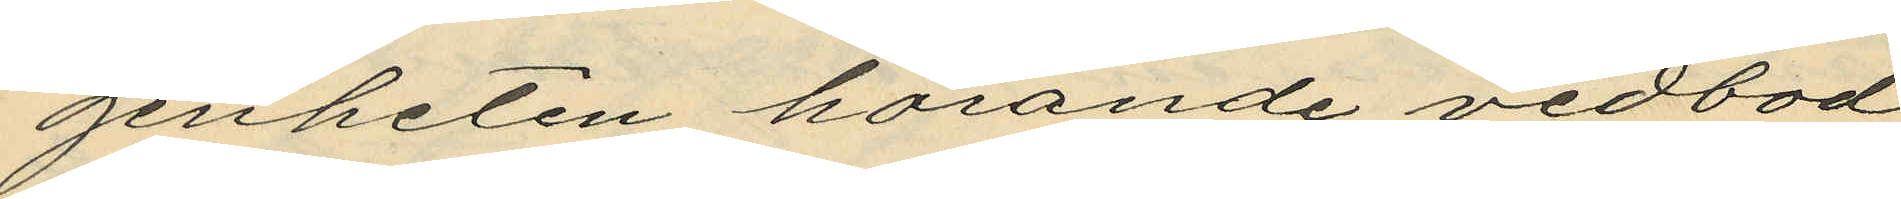genheten hörande vedbod
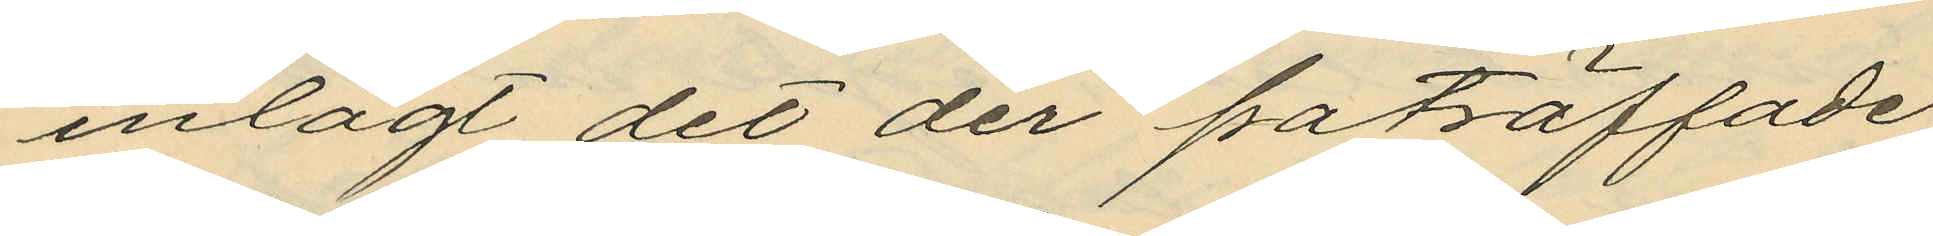inlagt det der påträffade
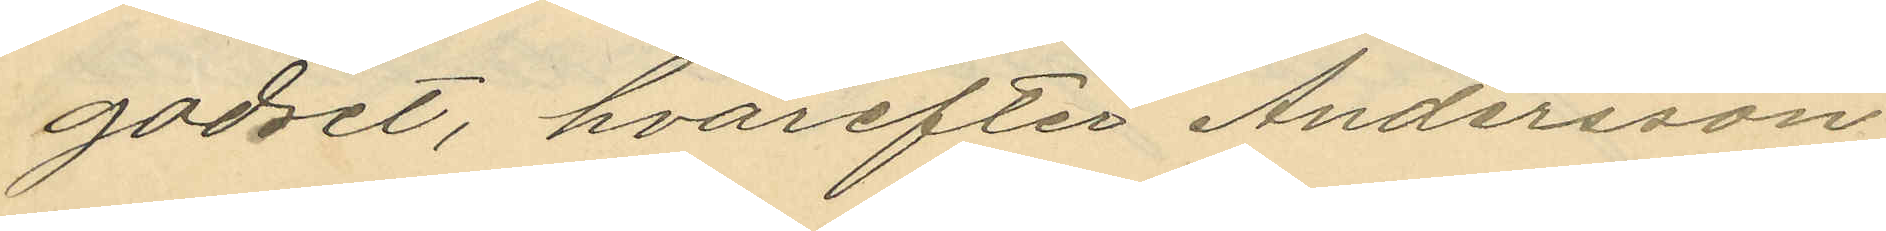godset, hvarefter Andersson
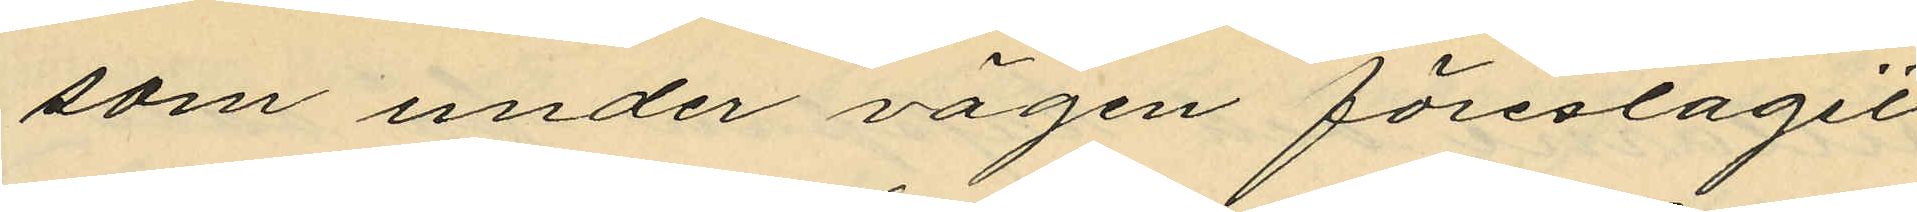som under vägen föreslagit
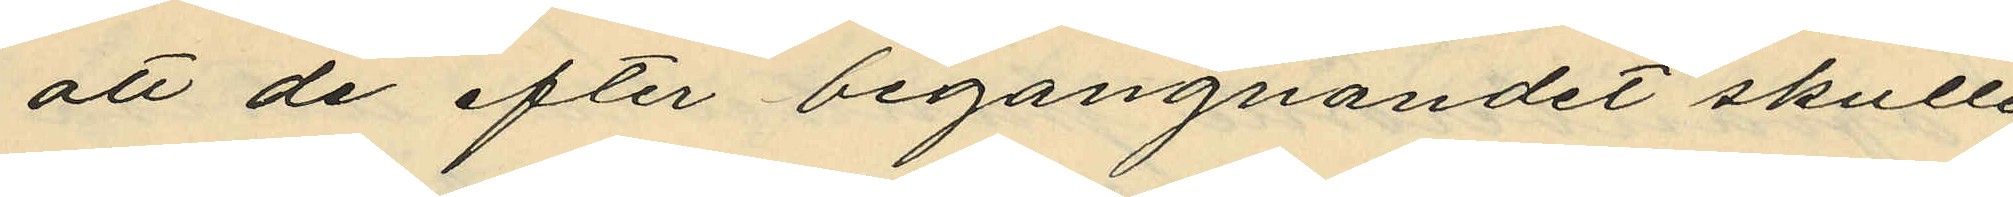att de efter begangnandet skulle
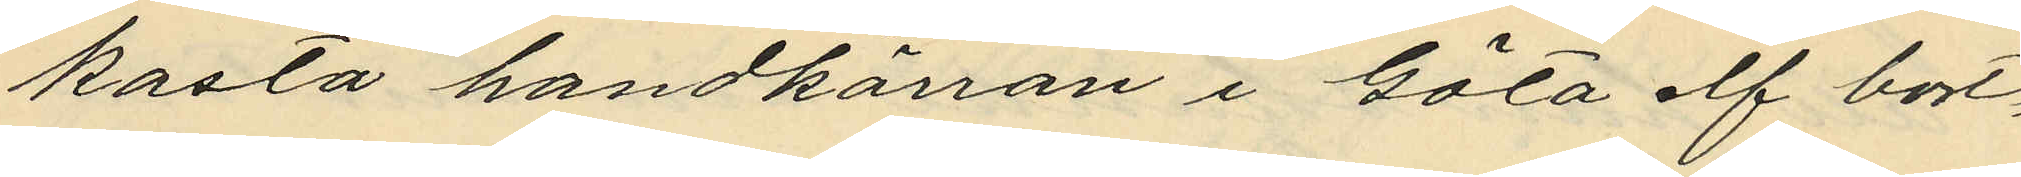kasta handkärran i Göta elf bort¬
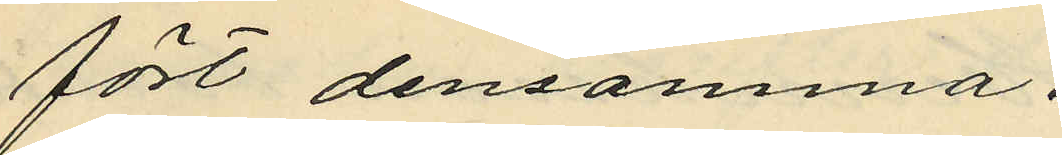fört densamma.
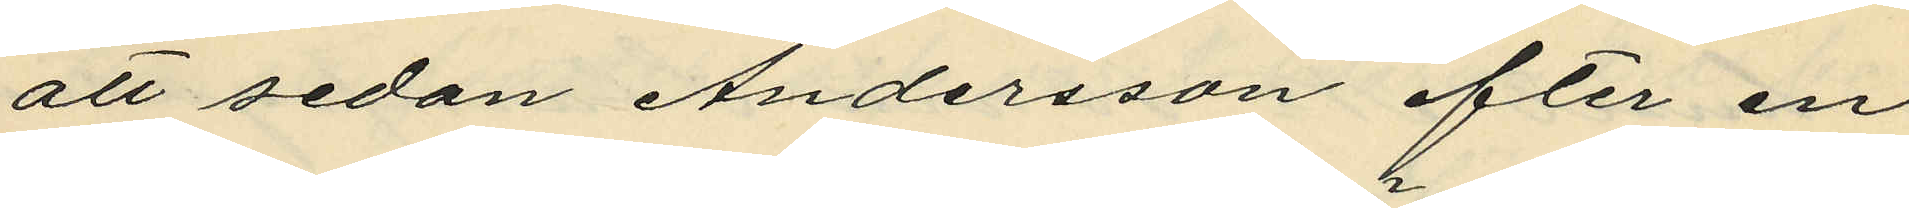att sedan Andersson efter en
